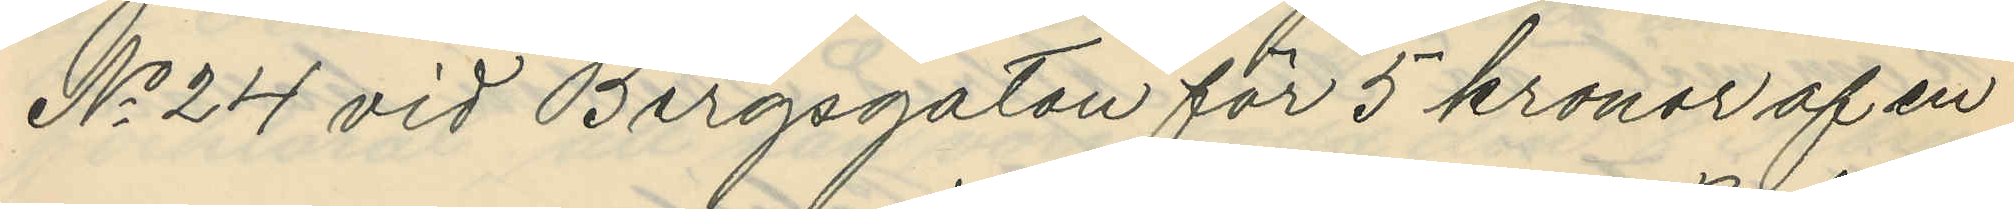No 24 vid Bergsgatan för 5 kronor af en
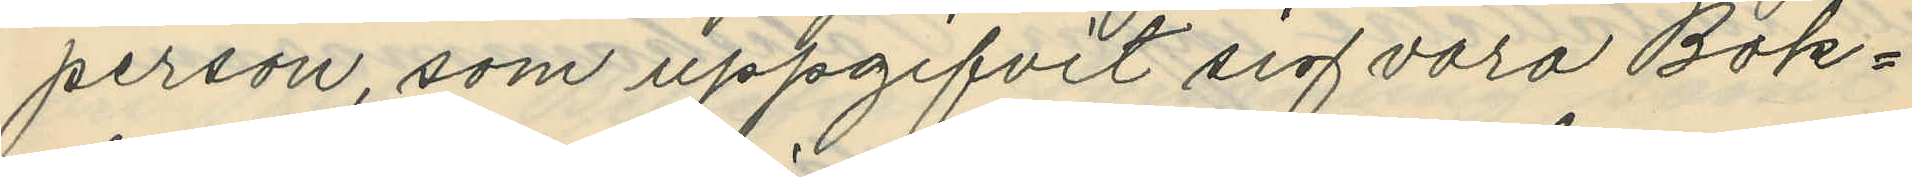person, som uppgifvit sig vara Bok¬
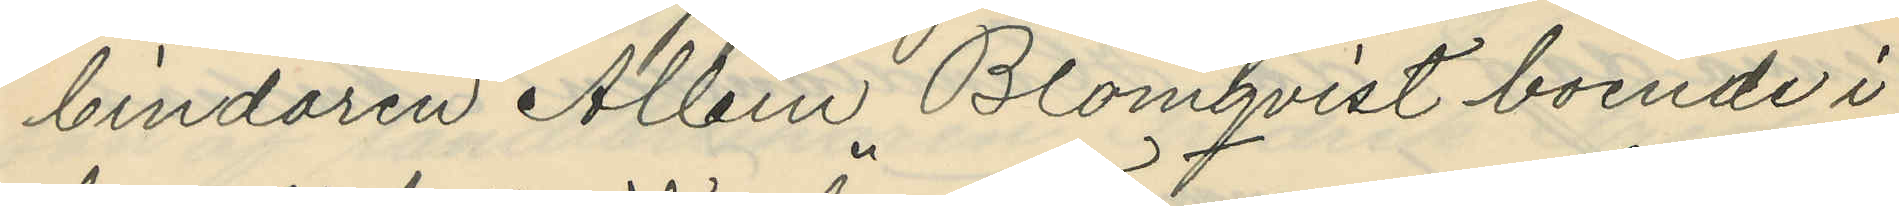bindaren Albin Blomqvist boende i
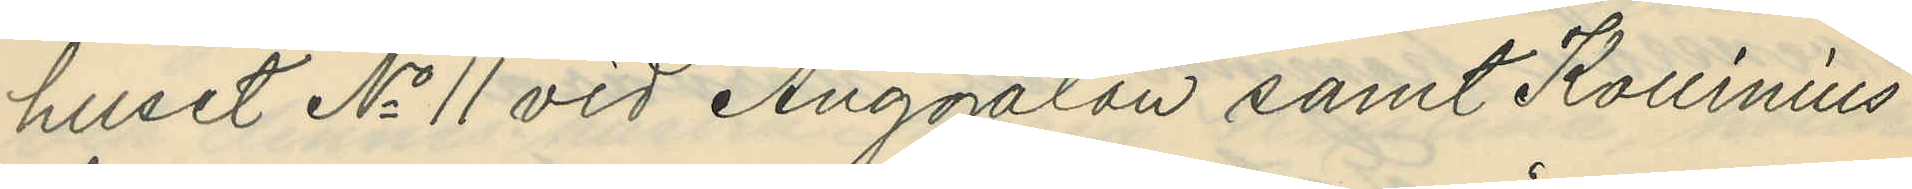huset No 11 vid Änggatan samt Kollinius
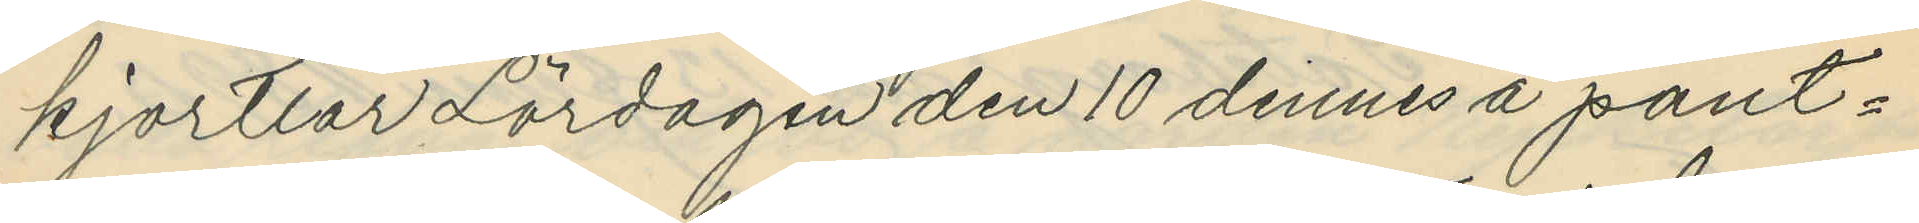kjortlar Lördagen den 10 dennes å pant¬
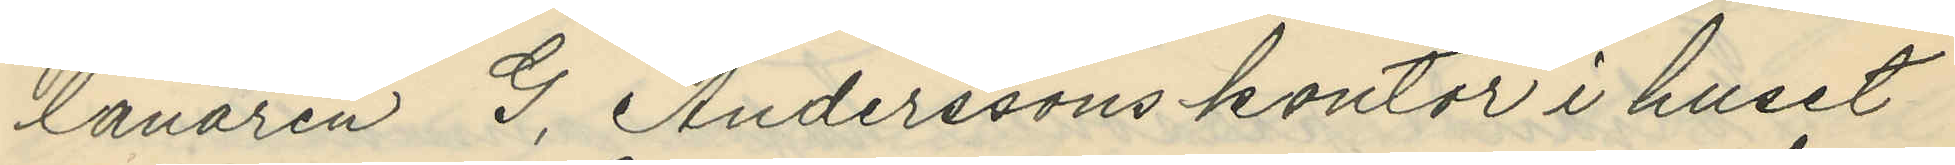lånaren G. Anderssons kontor i huset
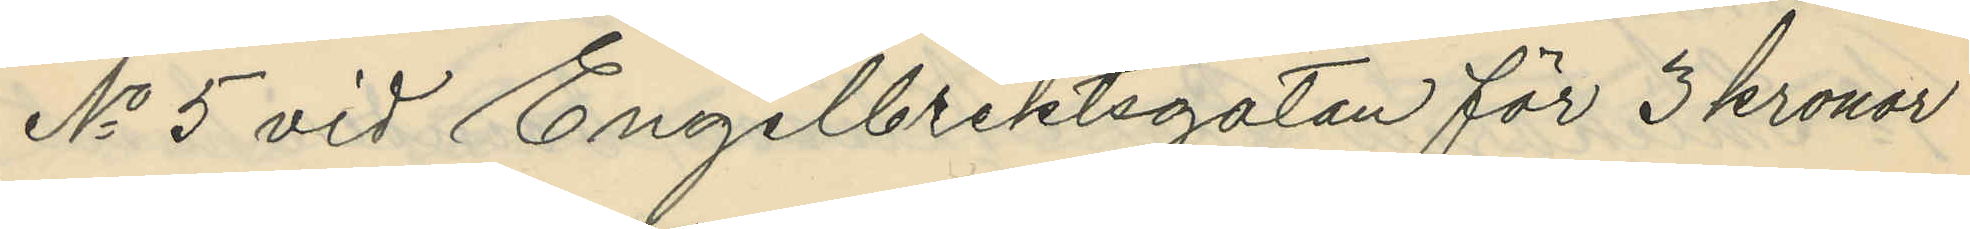No 5 vid Engelbrektsgatan för 3 kronor
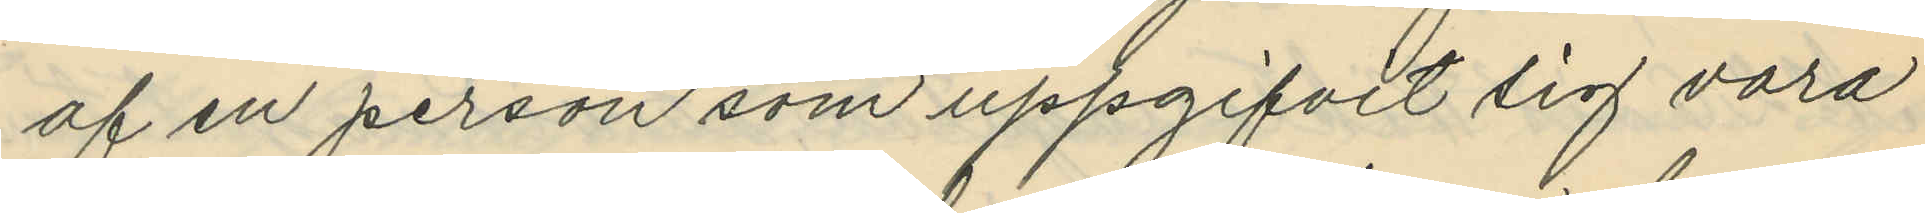af en person som uppgifvit sig vara
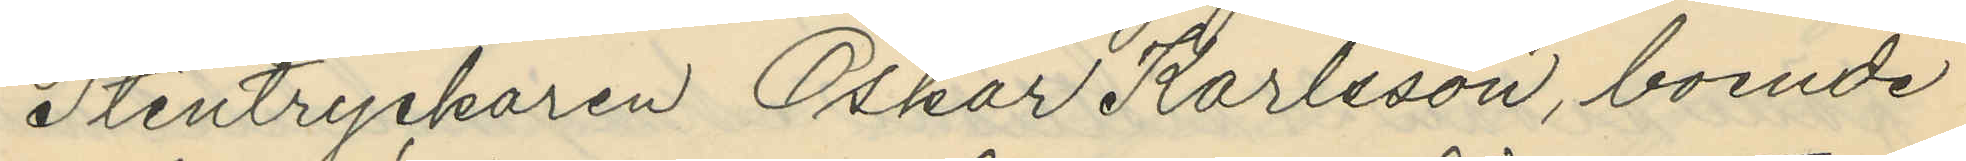Stentryckaren Oskar Karlsson, boende
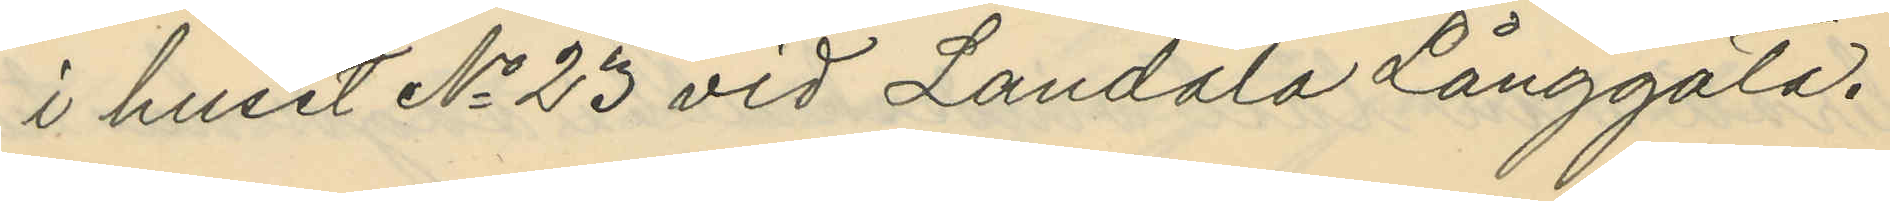i huset No 23 vid Landala Långgata.
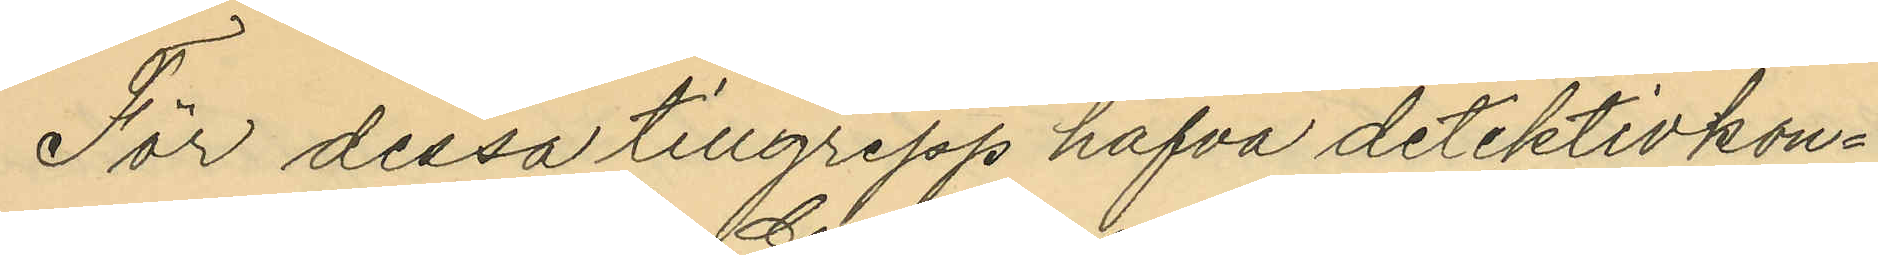För dessa tillgrepp hafva detektivkon¬
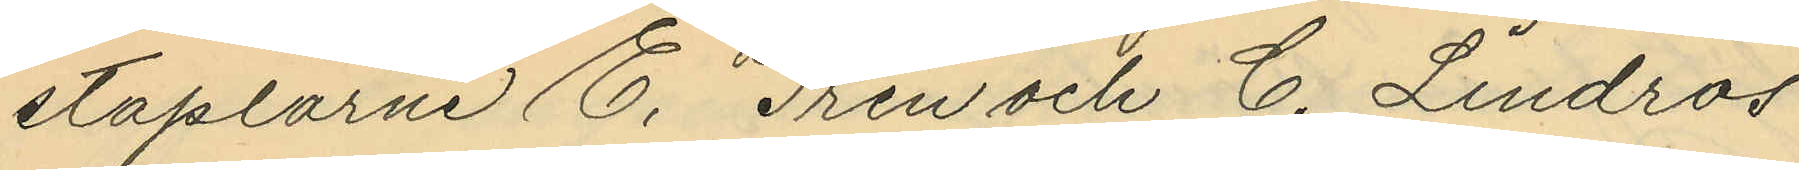staplarne E. Gren och C. Lindros
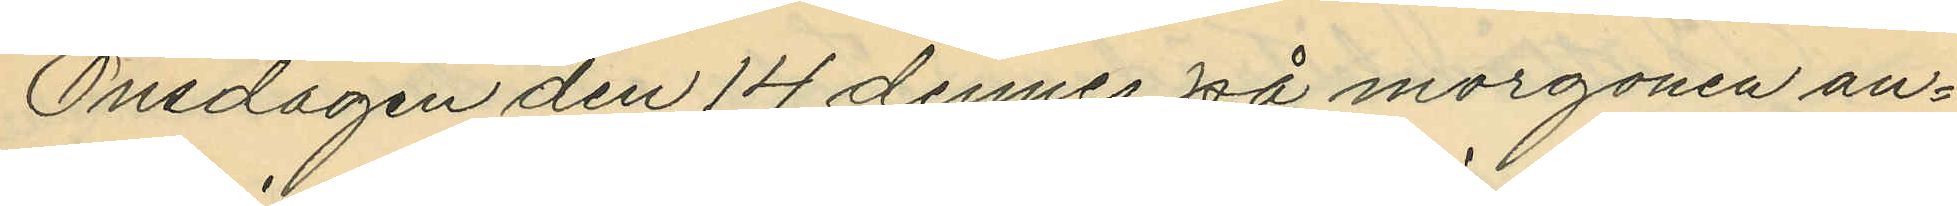Onsdagen den 14 dennes på morgonen an¬
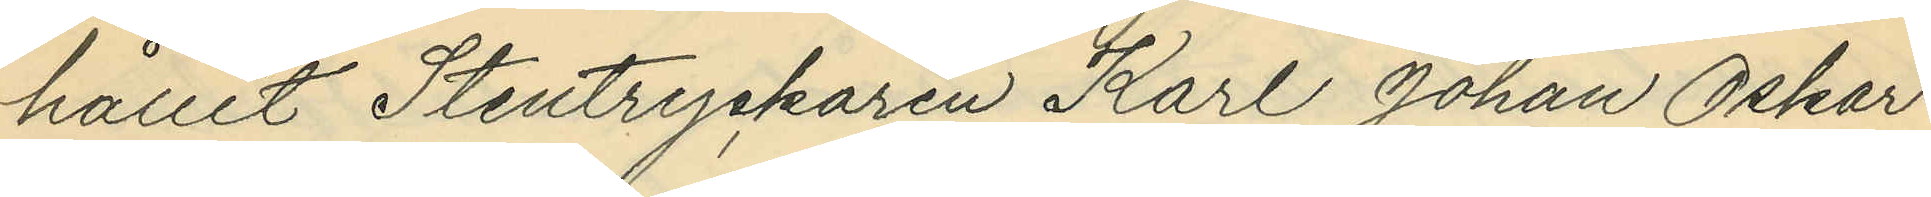hållit Stentryckaren Karl Johan Oskar
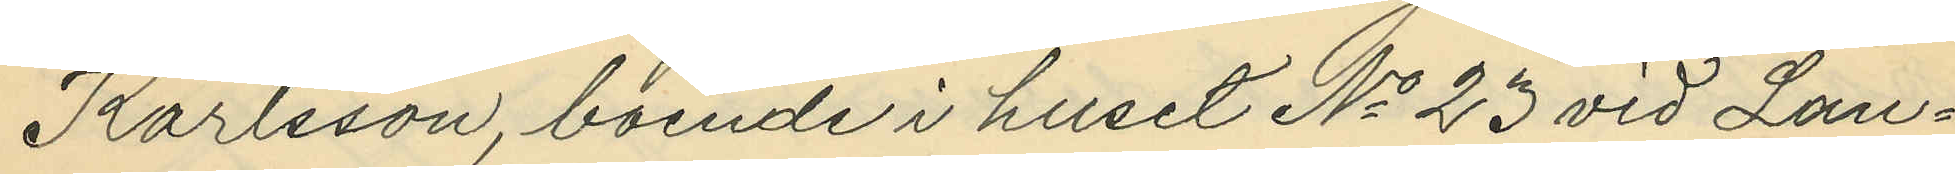Karlsson, boende i huset No 23 vid Lan¬
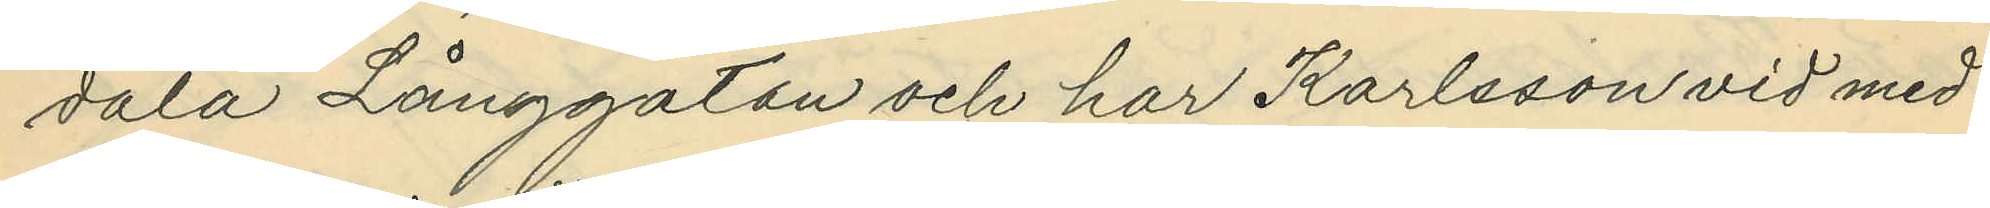dala Långgatan och har Karlsson vid med
